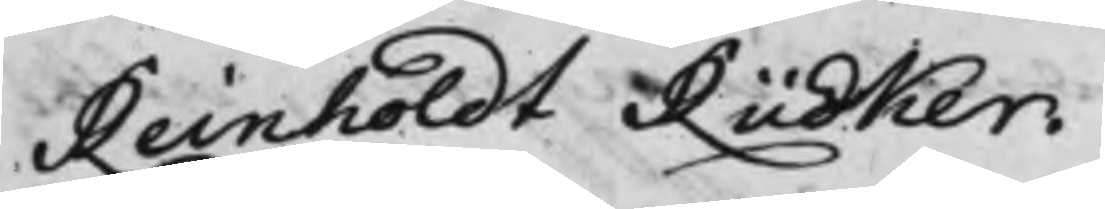Reinholdt Rüdker.
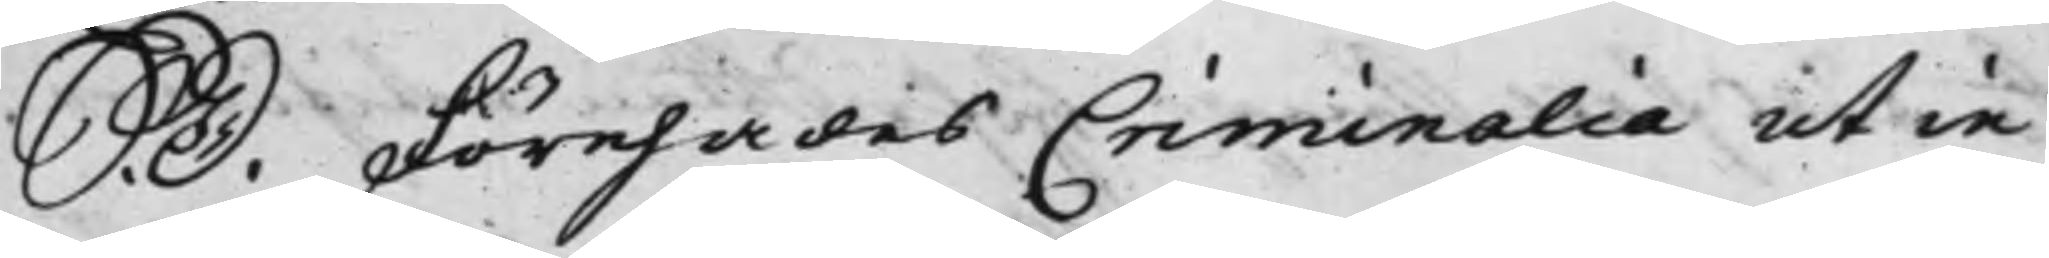S. D. Förehades Criminalia ut in
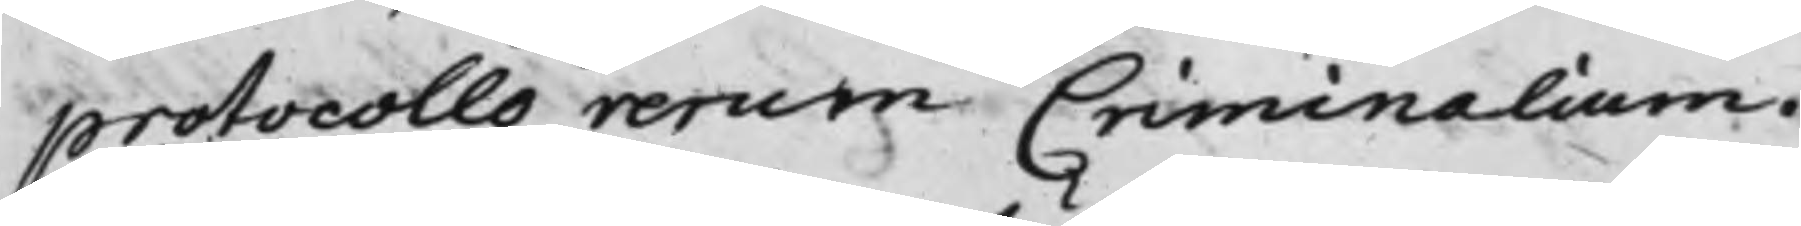protocollo rerum Criminalium.
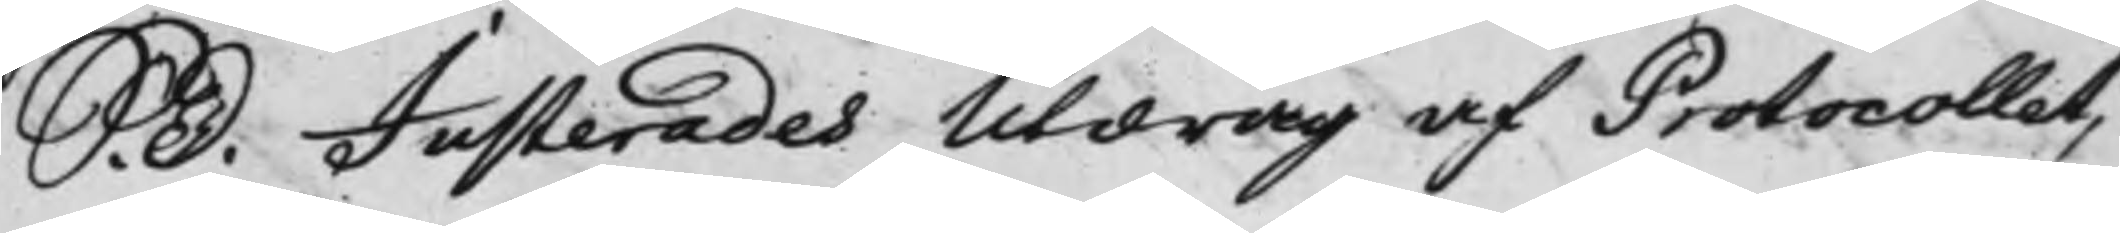S. D. Justerades Utdrag af Protocollet,
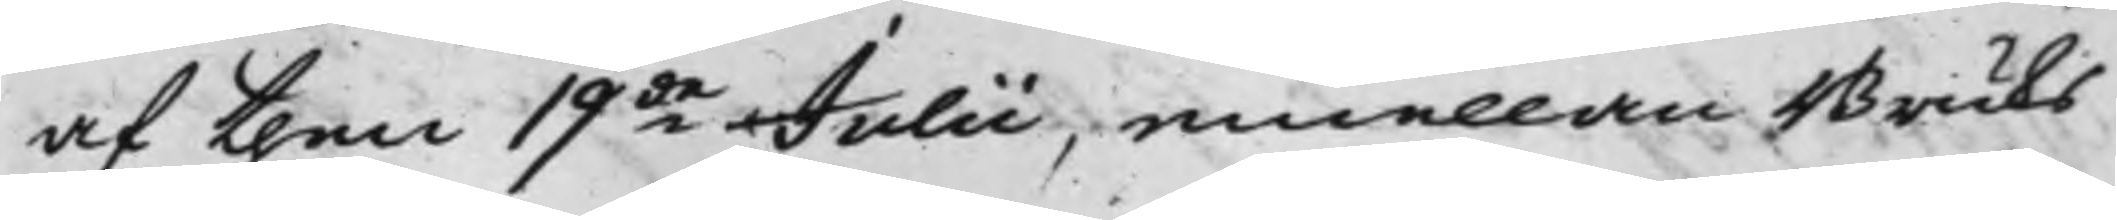af then 19de Julii, emellan Bruks¬
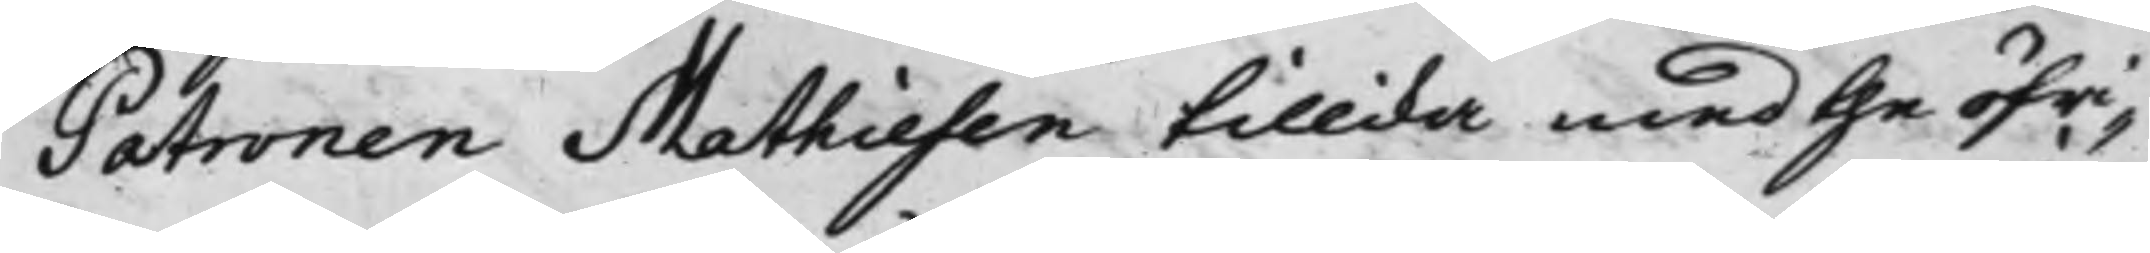Patronen Mathiesen tillika med the öfri¬
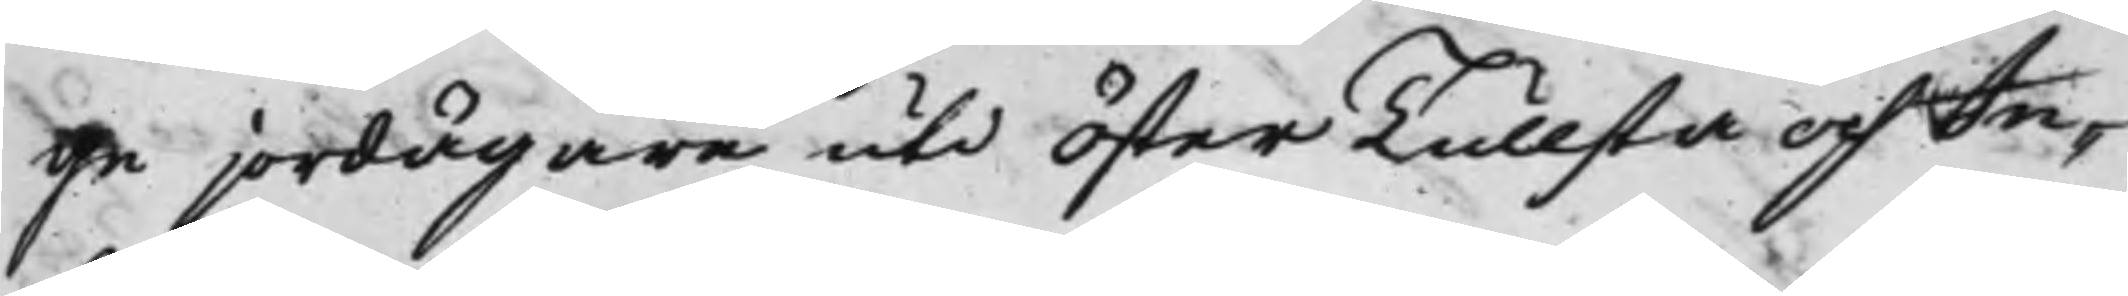ge jordägare uti Öster Tullsta och In¬
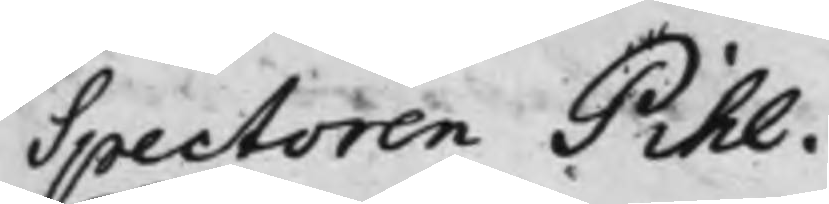Spectoren Pihl.
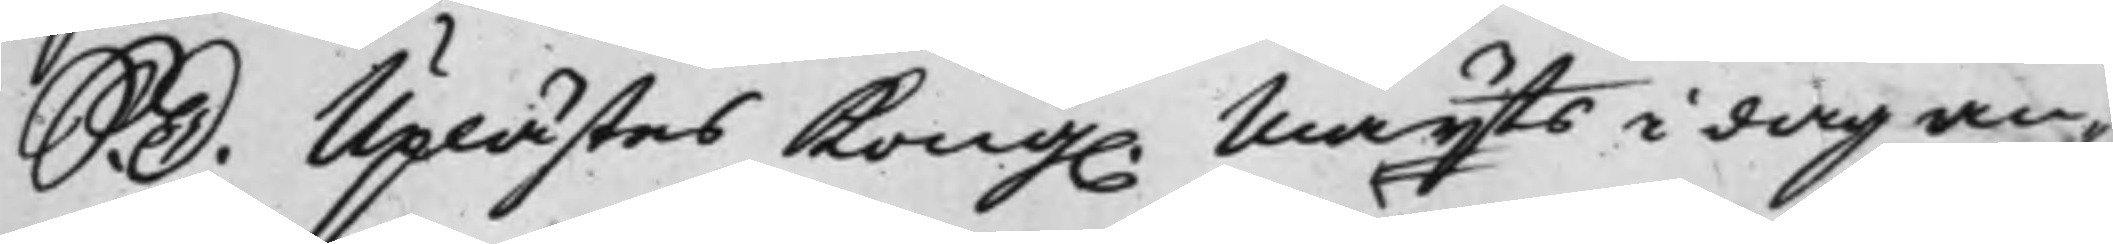S. D. Uplästes Kong. Mayts i dag an¬
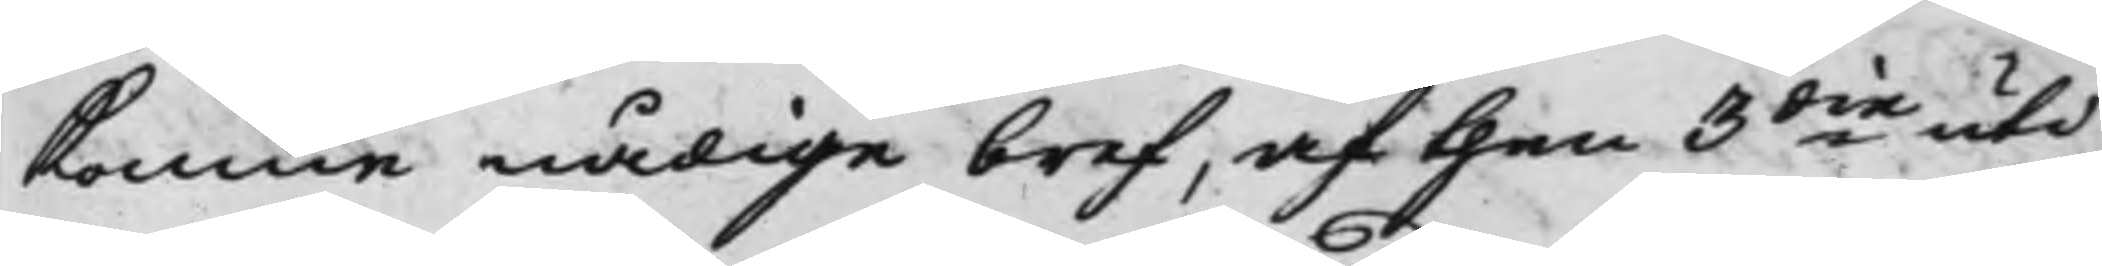komne nådige bref, af then 3die uti
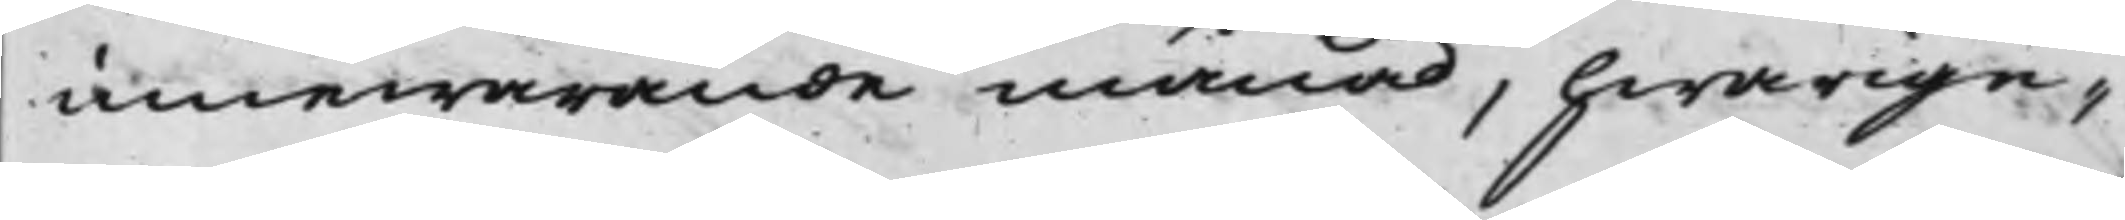innewarande månad, hwarige¬
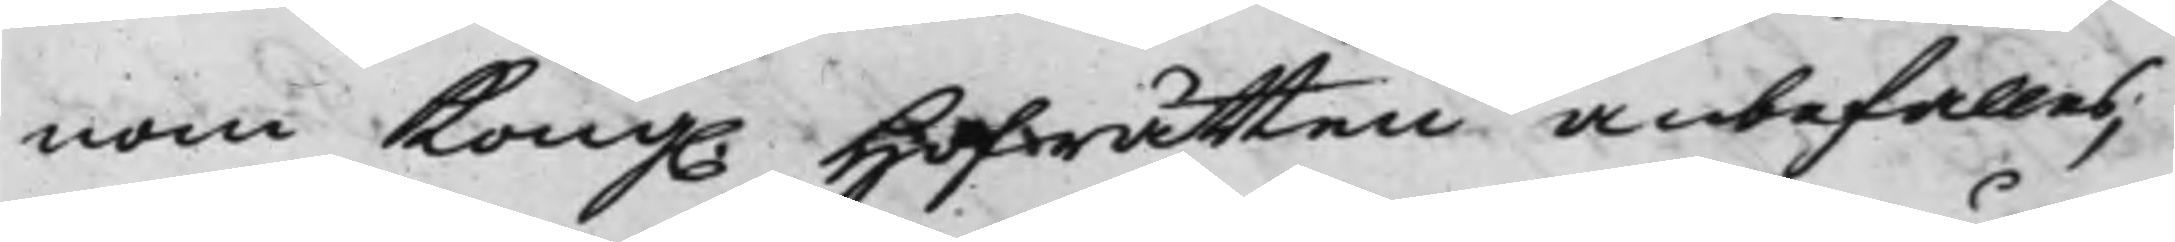nom Kong. Hofrätten anbefalles,
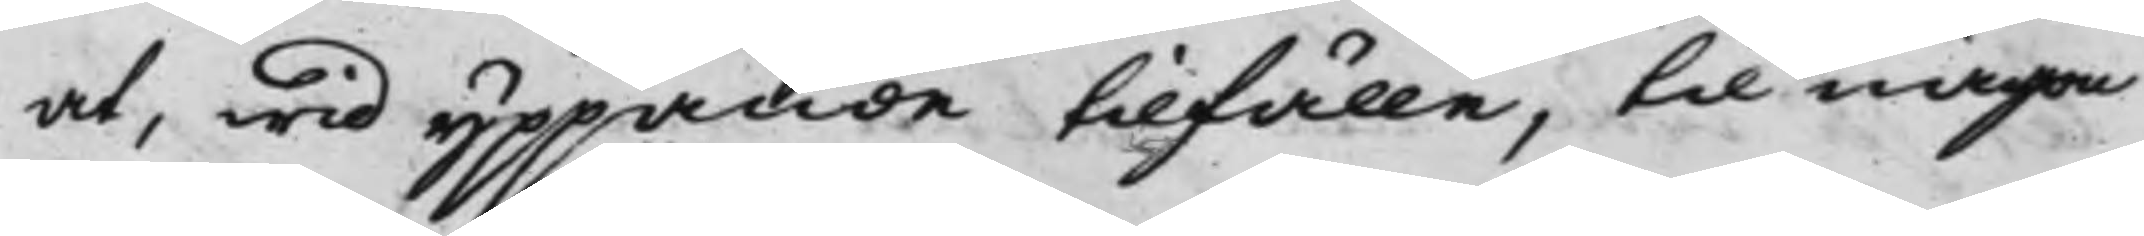at, wid yppande tilfälle, til någon
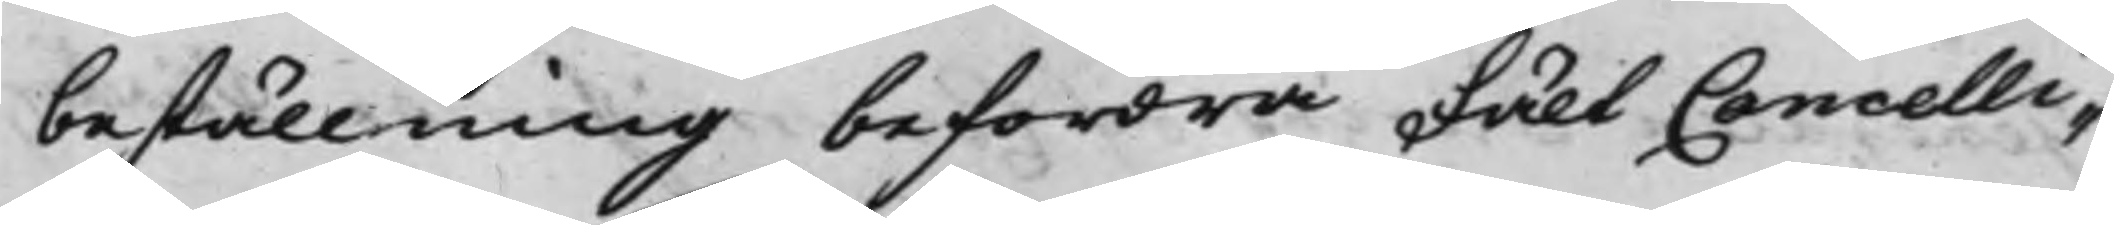beställning befordra FältCancelli¬
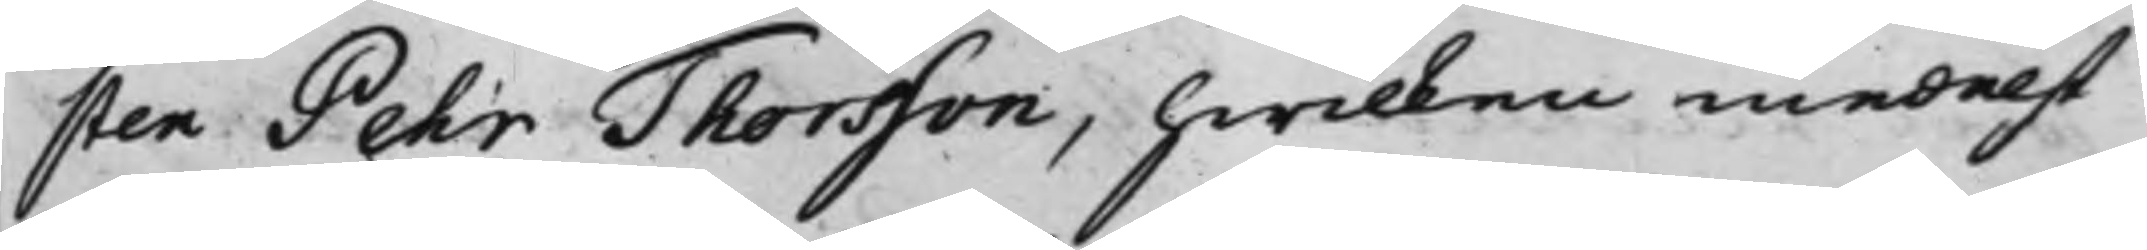sten Pehr Thorsson, hwilken medelst
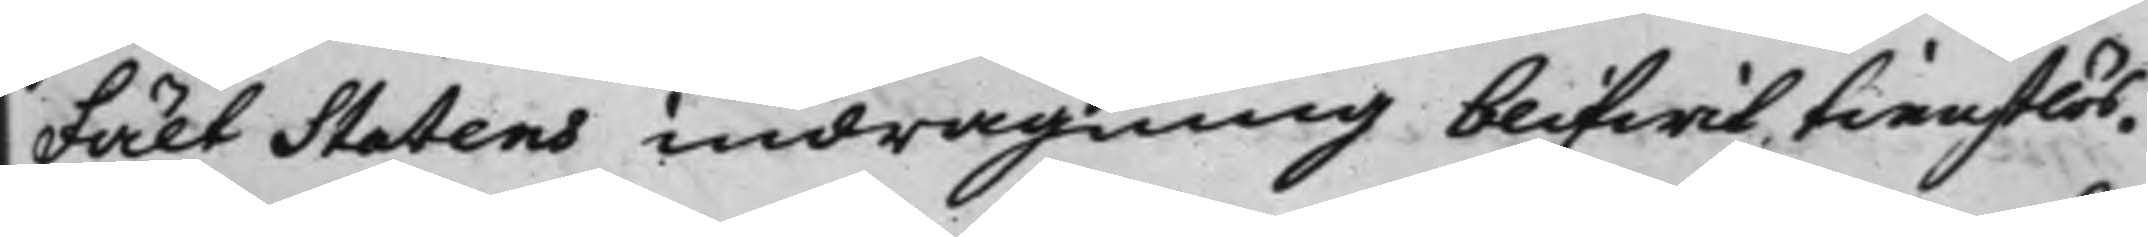FältStatens indragning blifwit tienstlös.
